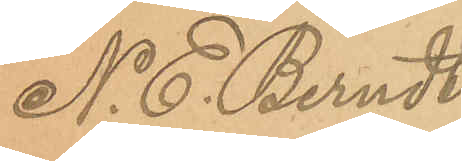N. E. Berndts¬
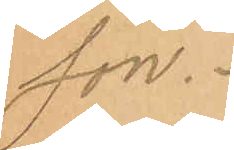son.
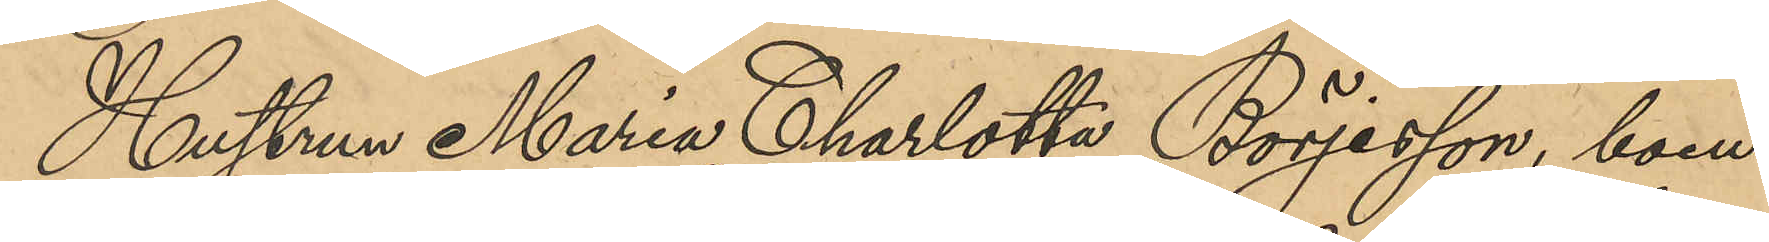Hustrun Maria Charlotta Börjesson, boen¬
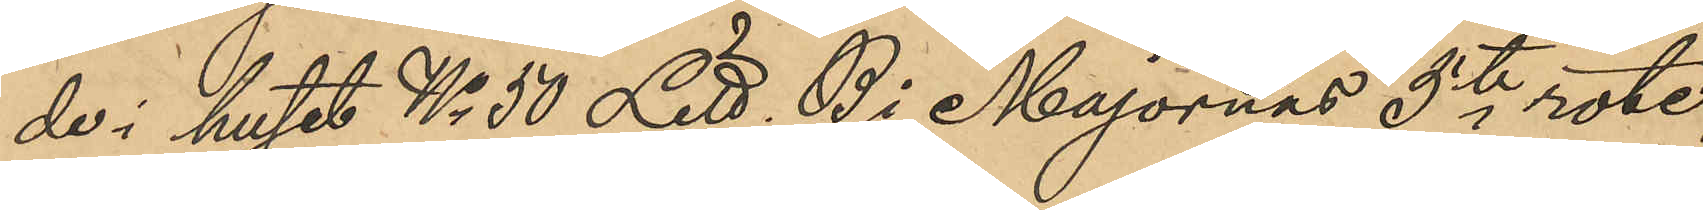de i huset No 50 Litt. B i Majornas 5te rote,
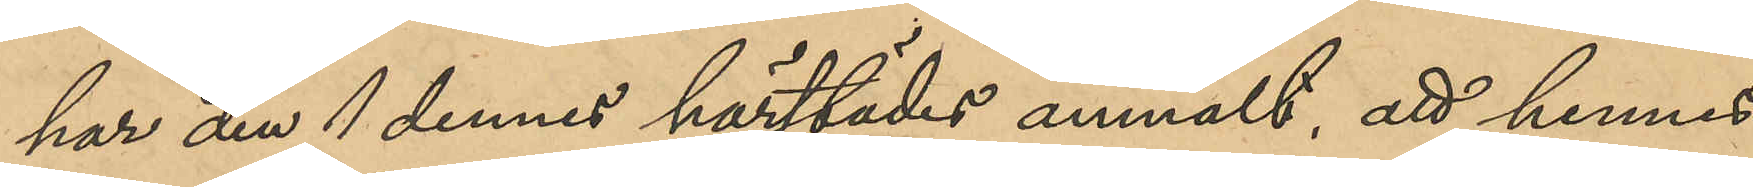har den 1 dennes härstädes anmält, att hennes
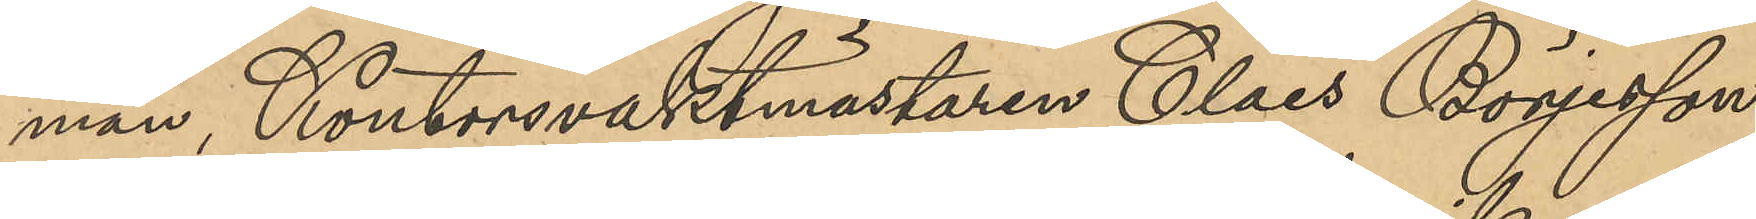man, Kontorsvaktmästaren Claes Börjesson
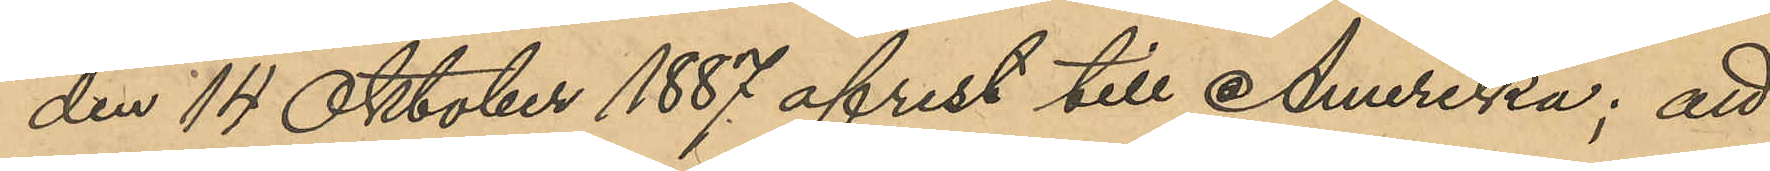den 14 Oktober 1887 afrest till Amerika; att
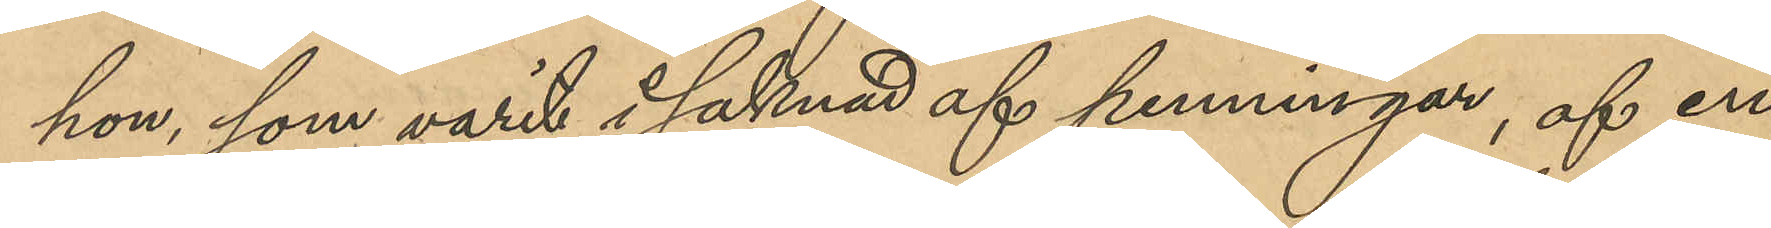hon, som varit i saknad af penningar, af en
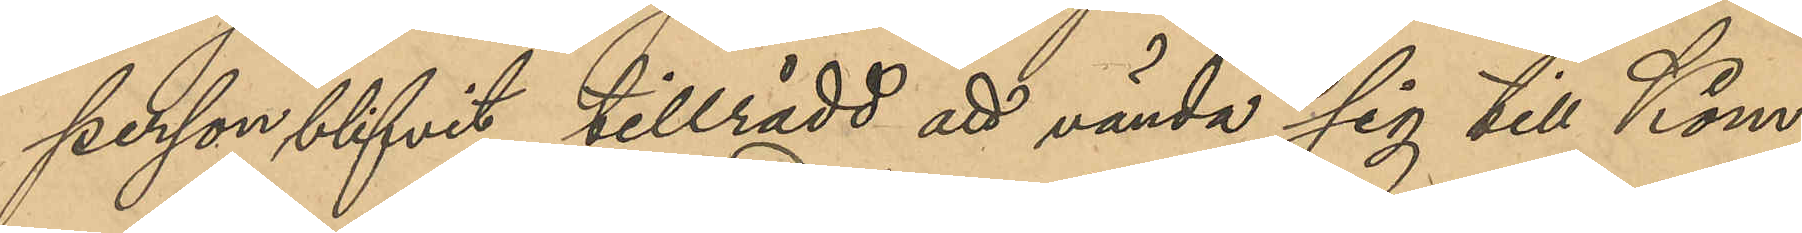person blifvit tillrådd att vända sig till Kom¬
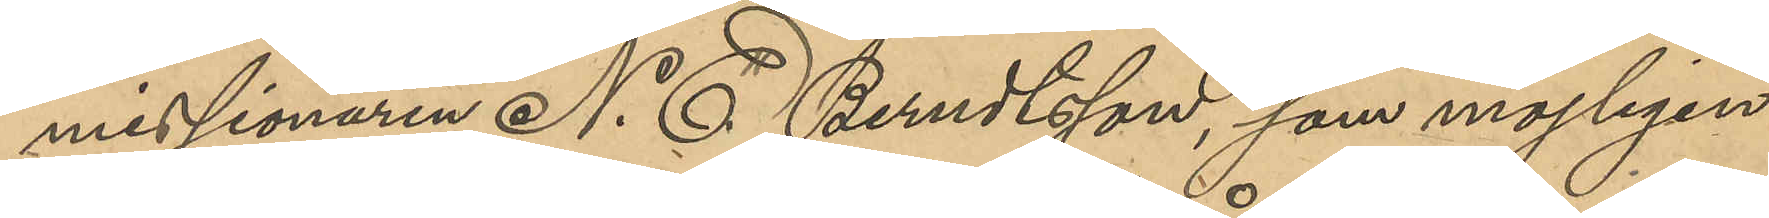missionaren N. E. Berndtsson, som möjligen
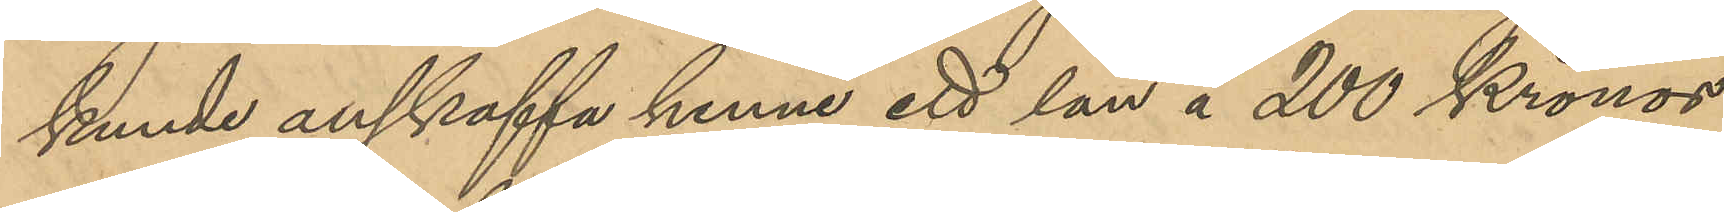kunde anskaffa henne ett lån å 200 Kronor
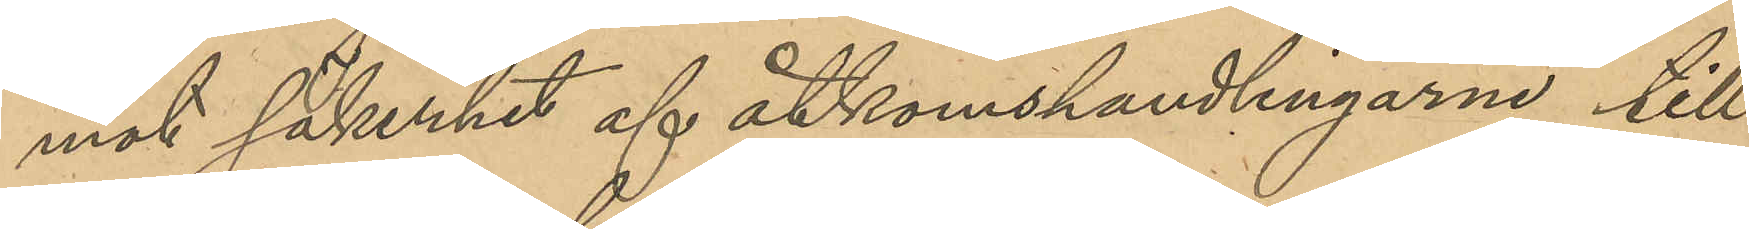mot säkerhet af åtkomsthandlingarne till
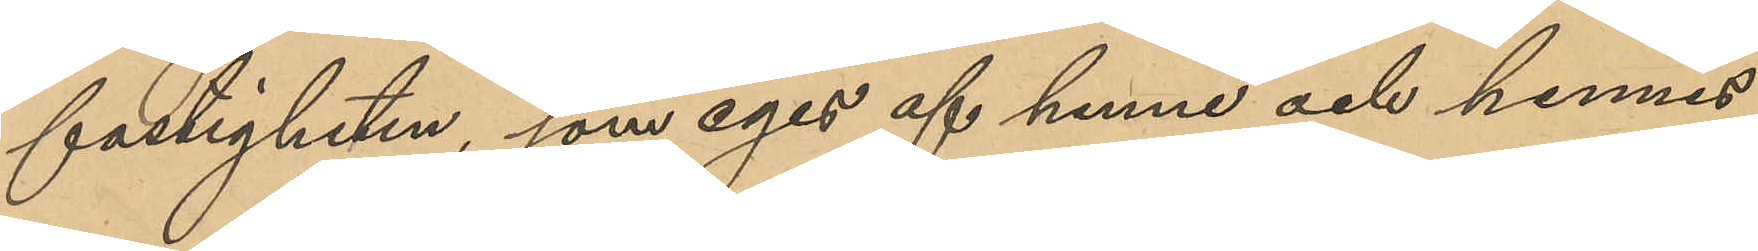fastigheten, som eges af henne och hennes
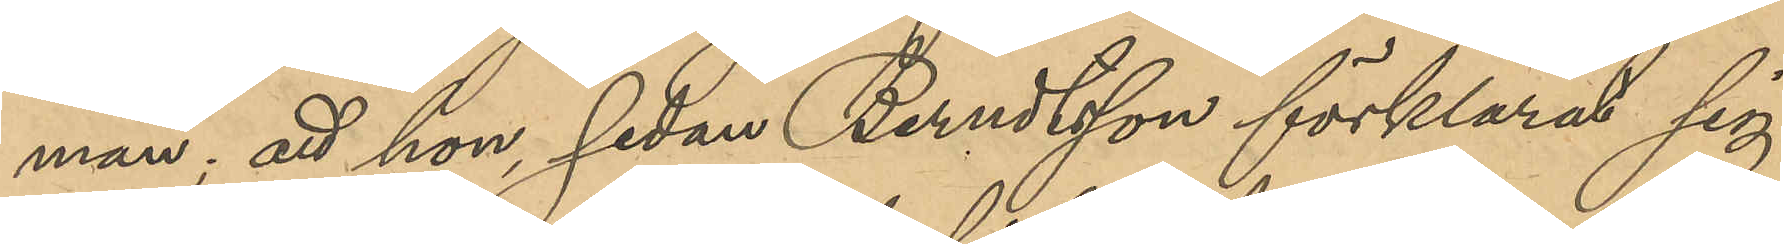man; att hon, sedan Berndtsson förklarat sig
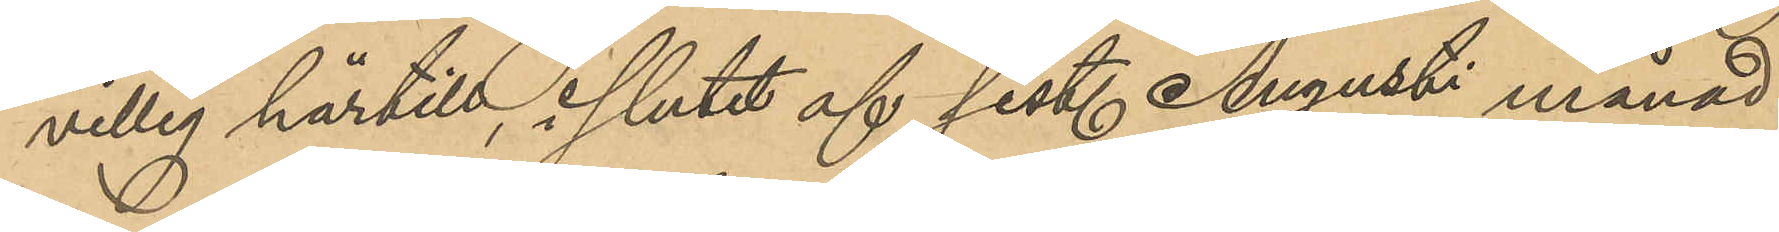villig härtill, i slutet af sist. Augusti månad
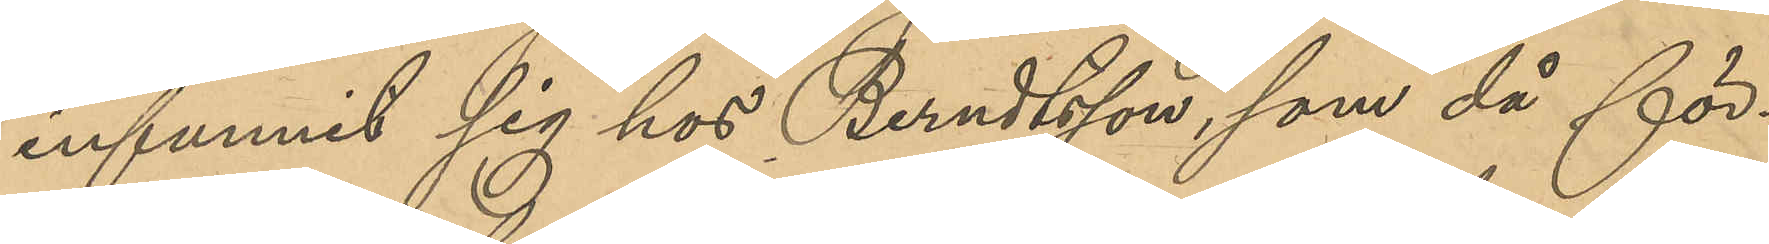infunnit sig hos Berndtsson, som då för¬
